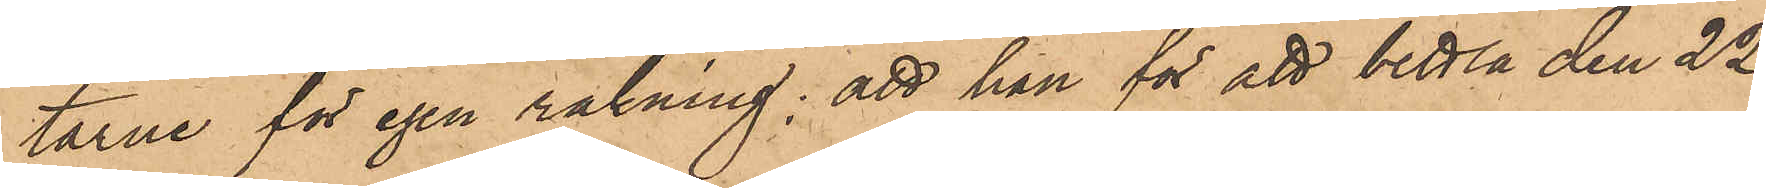tarne för egen räkning; att han för att bettla den 22
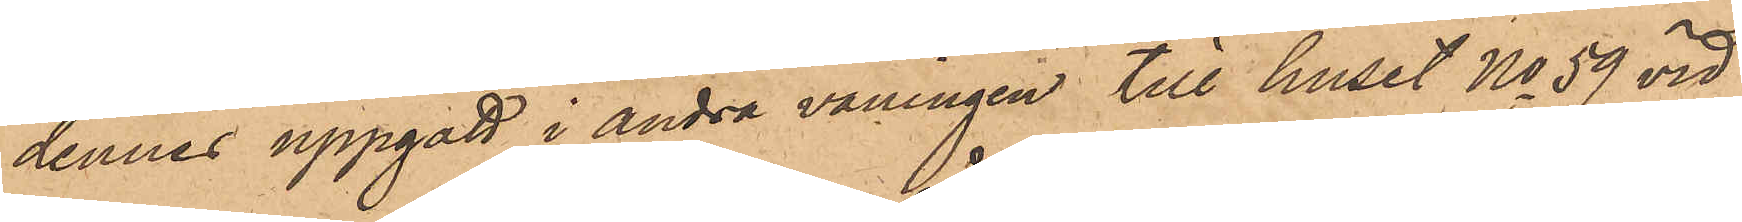dennes uppgått i andra våningen till huset No 59 vid
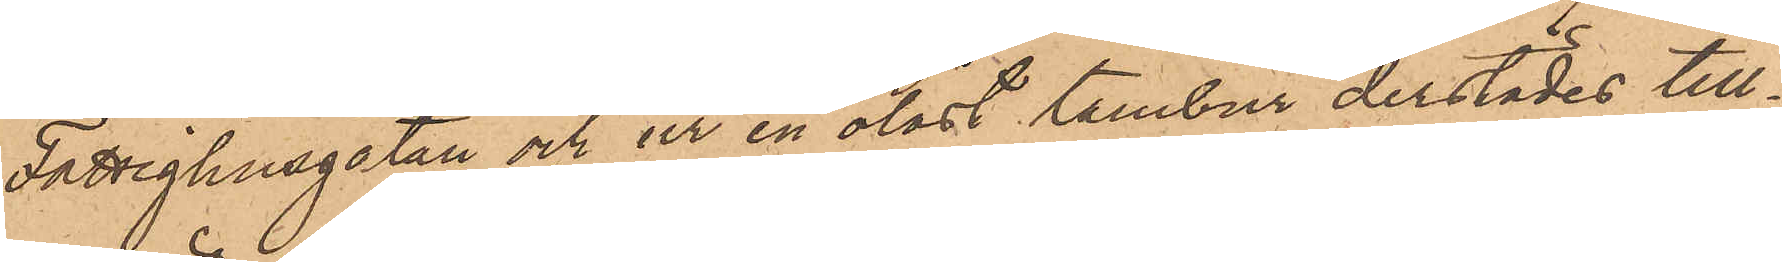Fattighusgatan och ur en olåst tambur derstädes till¬
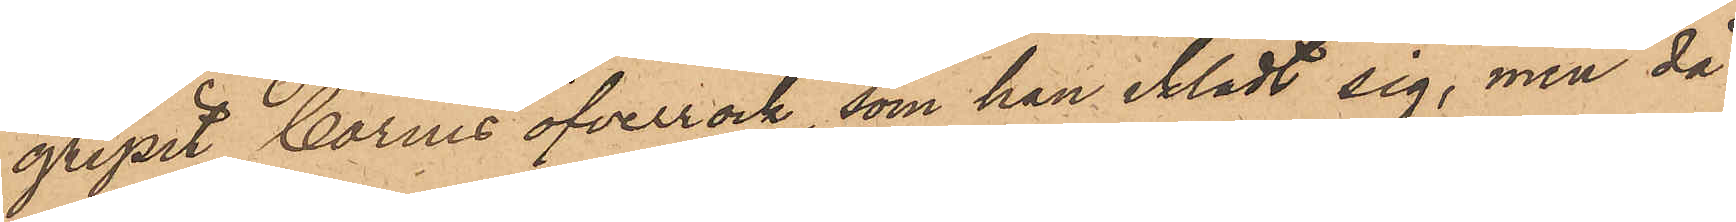gripit Corins öfverrock, som han iklädt sig, men då
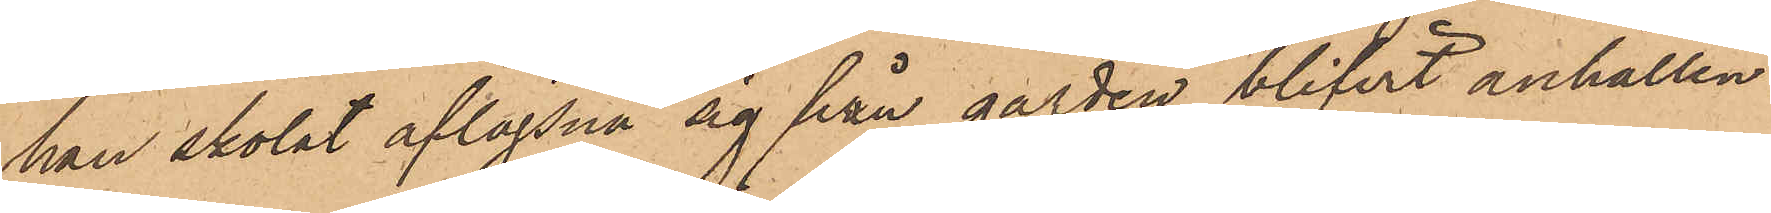han skolat aflägsna sig från gården blifvit anhållen
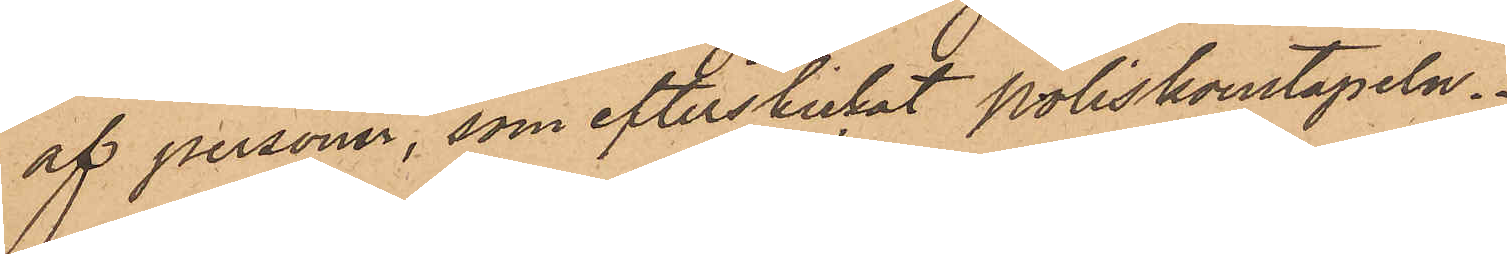af personer, som efterskickat Poliskonstapeln.
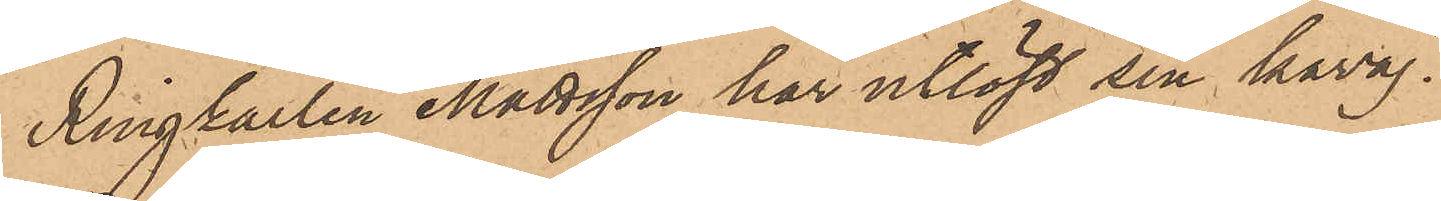Ringkarlen Mattsson har utlöst sin kavaj.
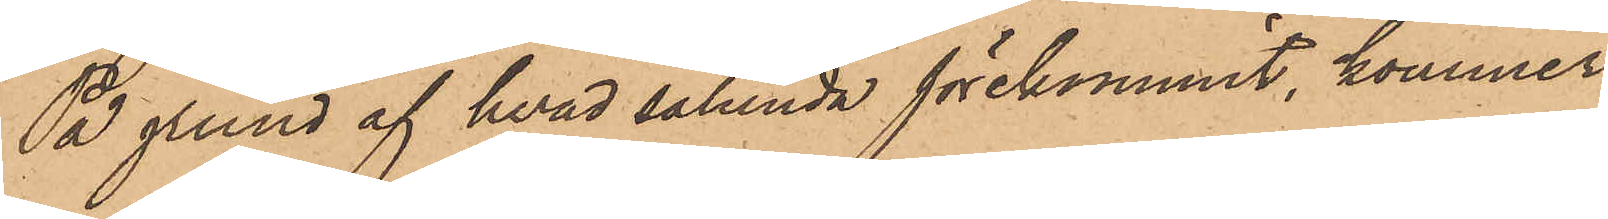På grund af hvad sålunda förekommit, kommer
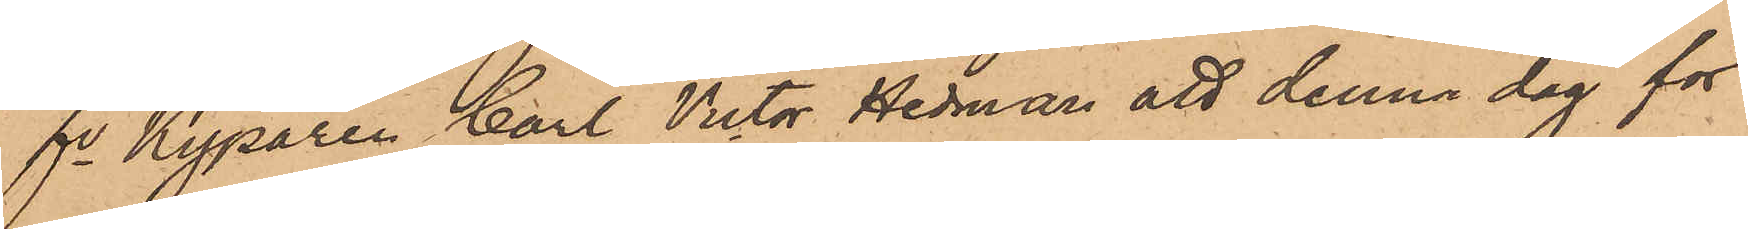fre Kyparen Carl Victor Hedman att denna dag för
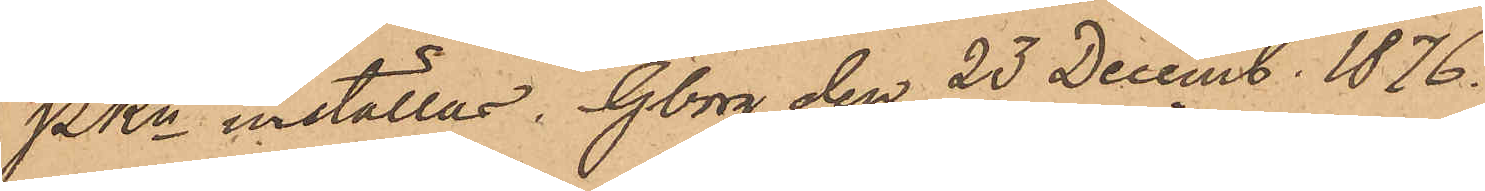PKn inställas. Gborg den 23 Decemb. 1876.
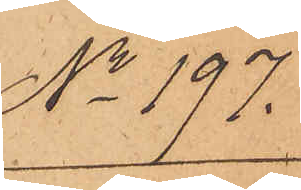No 197.
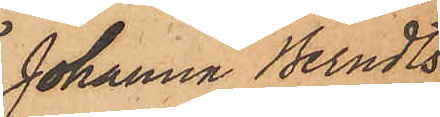Johanna Berndts¬
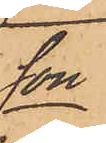son
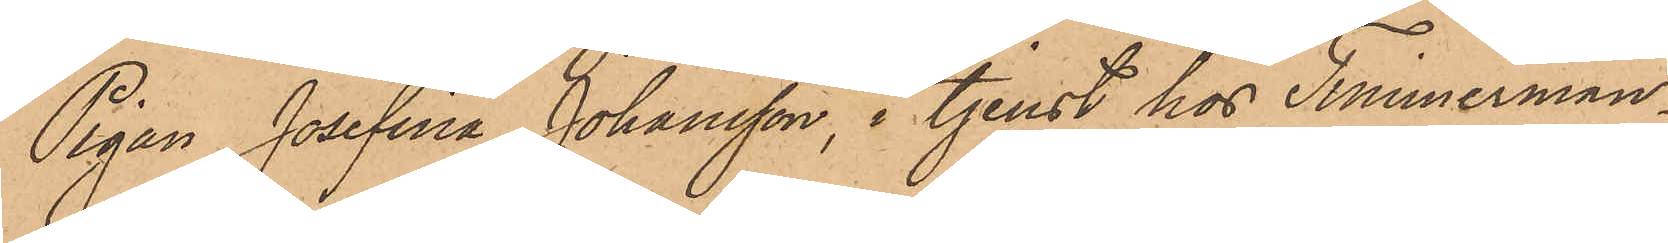Pigan Josefina Johansson, i tjenst hos Timmerman¬
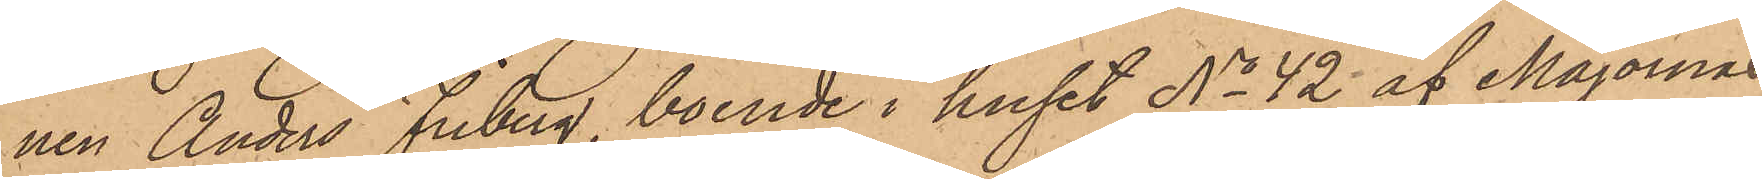nen Anders Friberg, boende i huset No 42 af Majornas
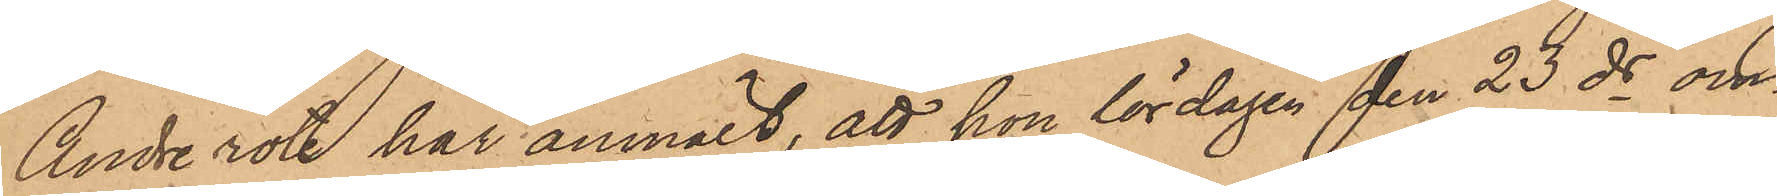Andre rote har anmält, att hon lördagen den 23 ds om¬
